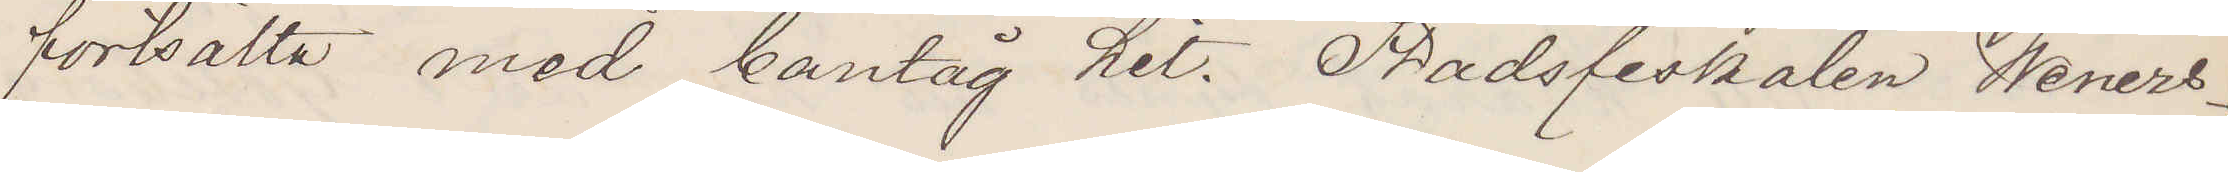fortsätta med bantåg hit. Stadsfiskalen Weners¬
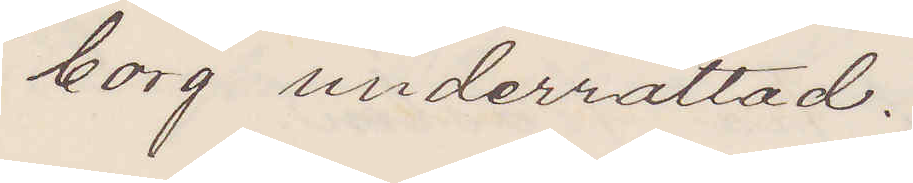borg underrättad.
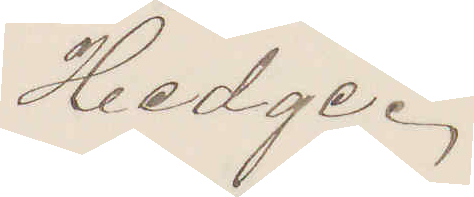Hedge.
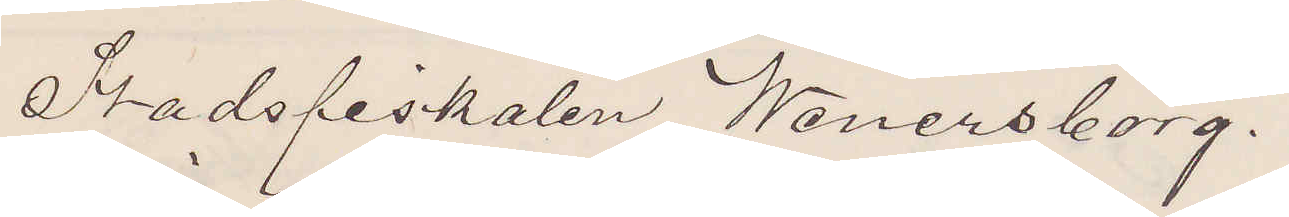Stadsfiskalen Wenersborg.
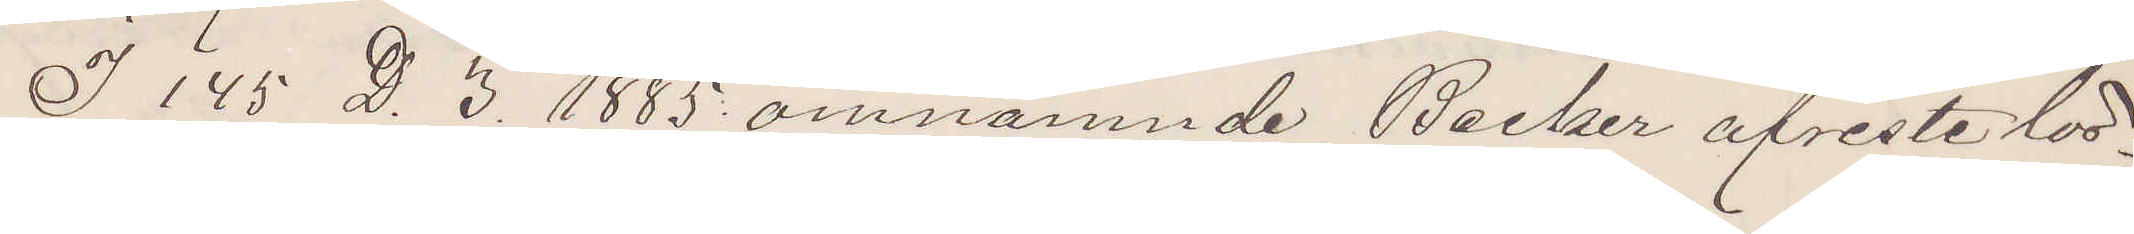I 145 D. 3. 1885 omnämnde Becker afreste lör¬
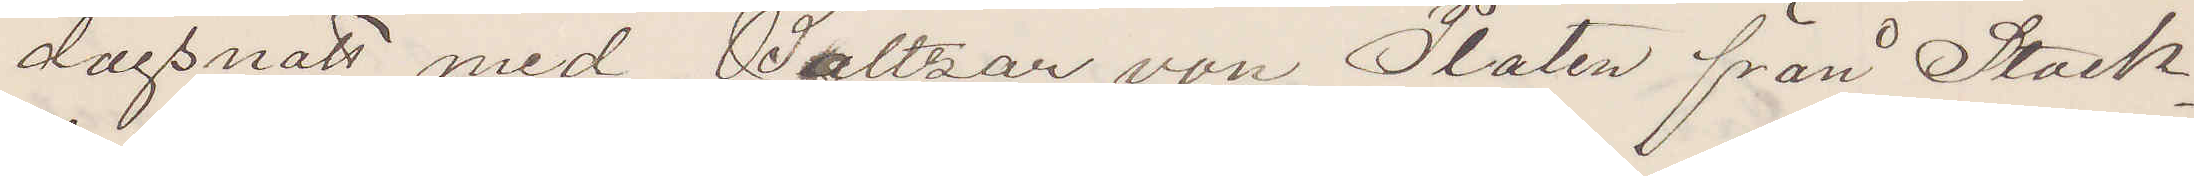dagsnatt med Baltzar von Platen från Stock¬
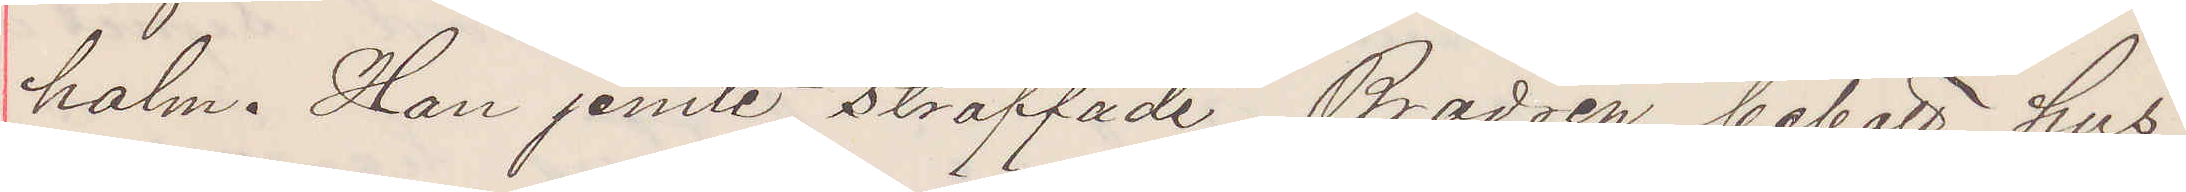holm. Han jemte straffade Brodren bebott hus
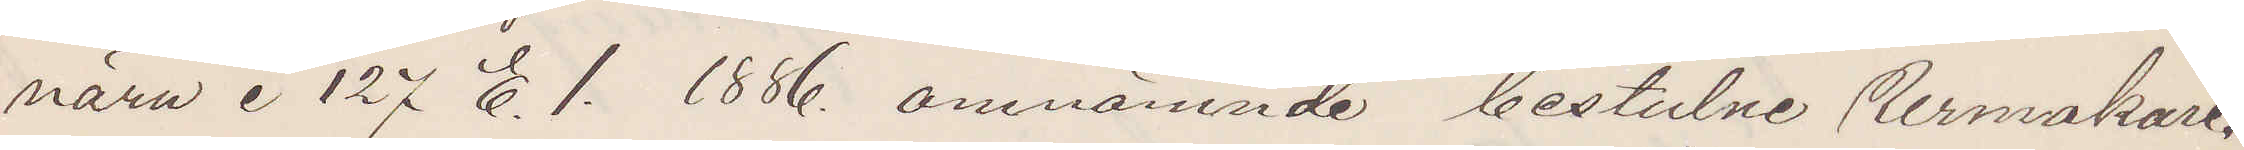nära i 127 E. 1. 1886. omnämnde bestulne Urmakare.
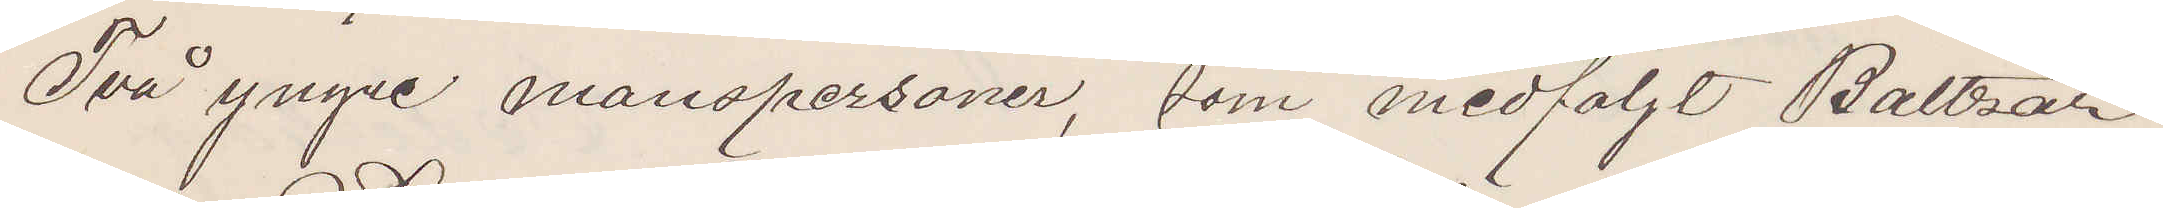Två yngre manspersoner, som medföljt Baltzar
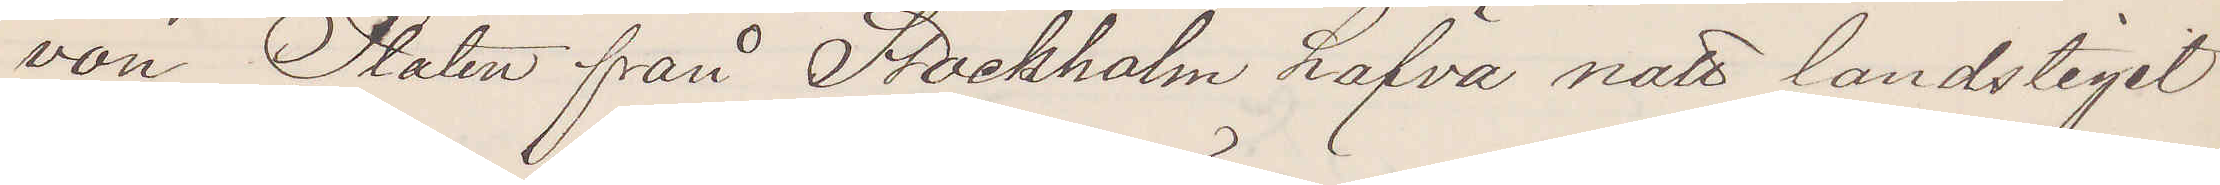von Platen från Stockholm hafva natt landstiget
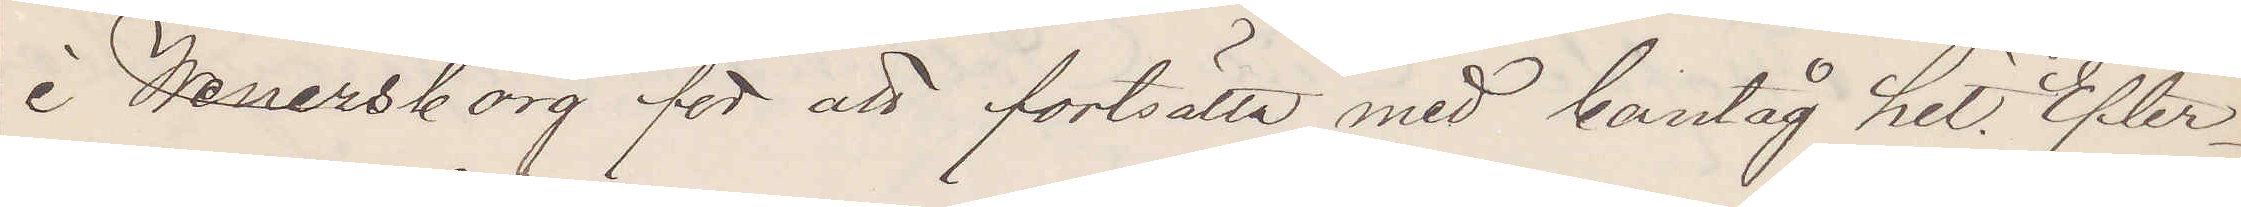i Wenersborg för att fortsätta med bantåg hit. Efter¬
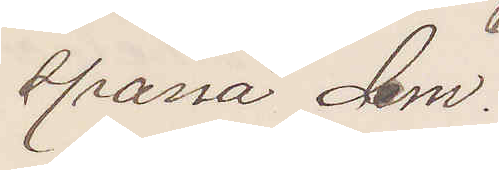spana dem.
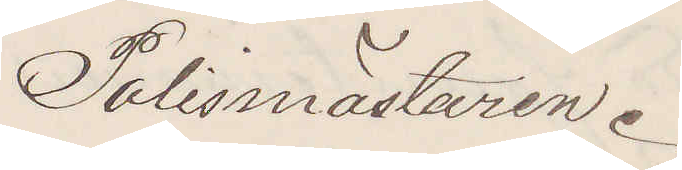Polismästaren.
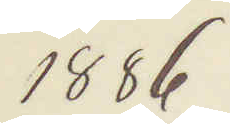1886
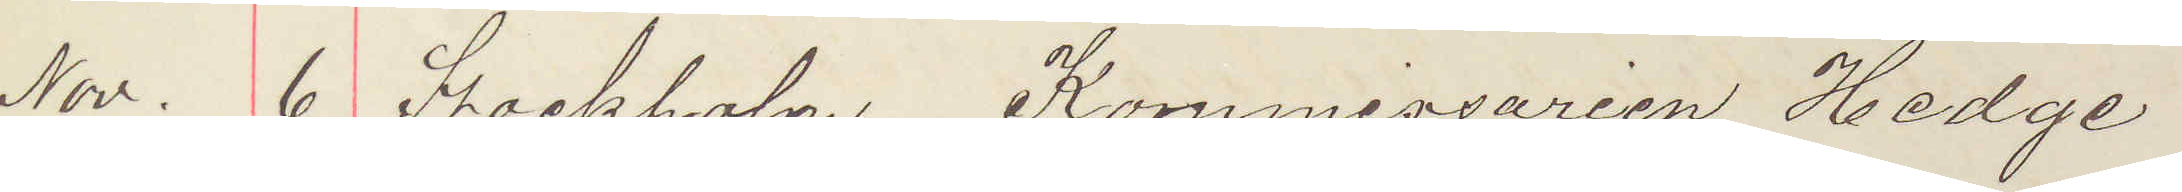Nov. 6 Stockholm Kommissarien Hedge
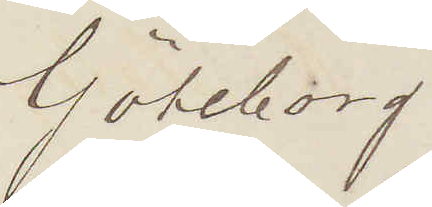Göteborg
